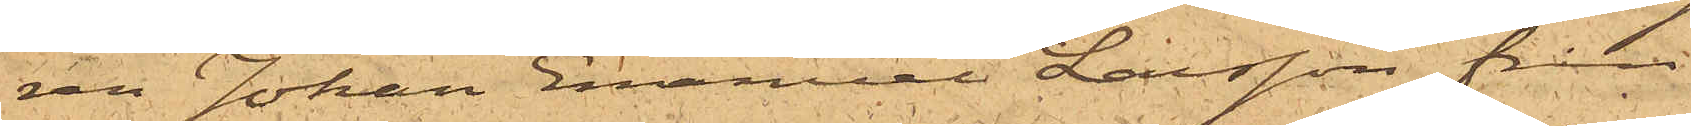ren Johan Emanuel Larsson från
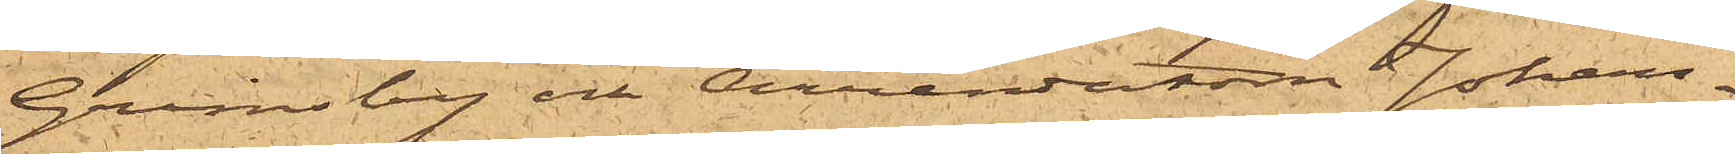Grindsby och Arrendatorn Johan¬
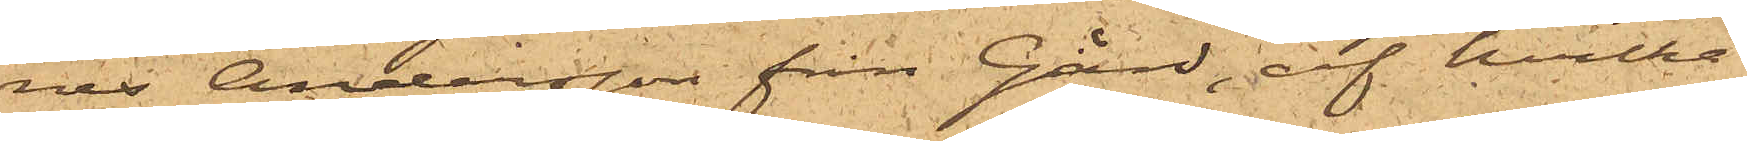nes Andersson från Gård, af hvilka
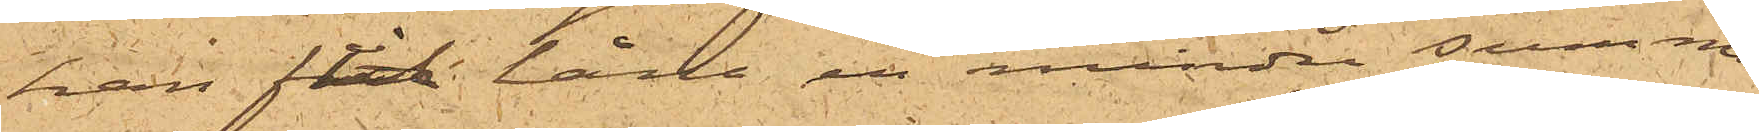han fått låna en mindre summa
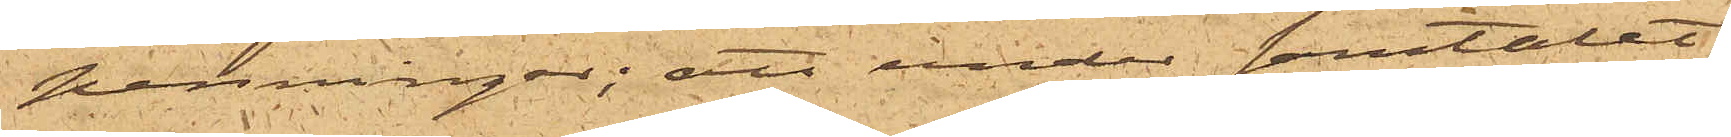penningar; att under samtalet
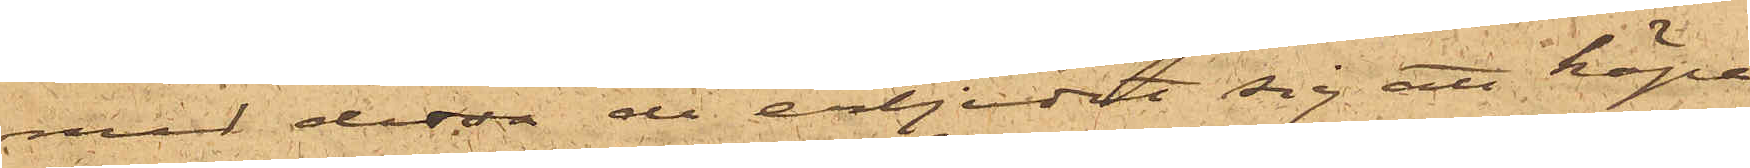med dessa de erbjudit sig att köpa
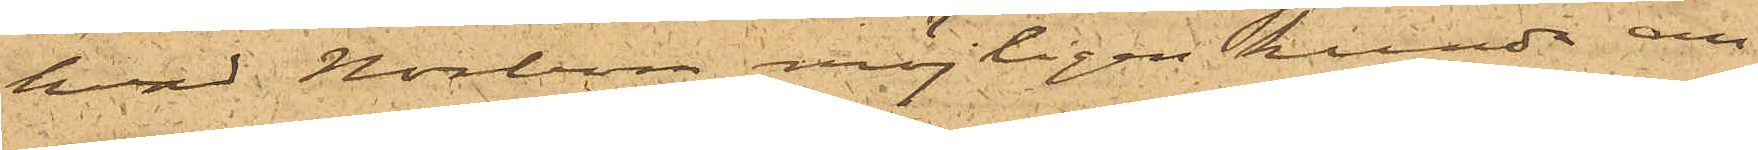hvad Norbom möjligen kunde an¬
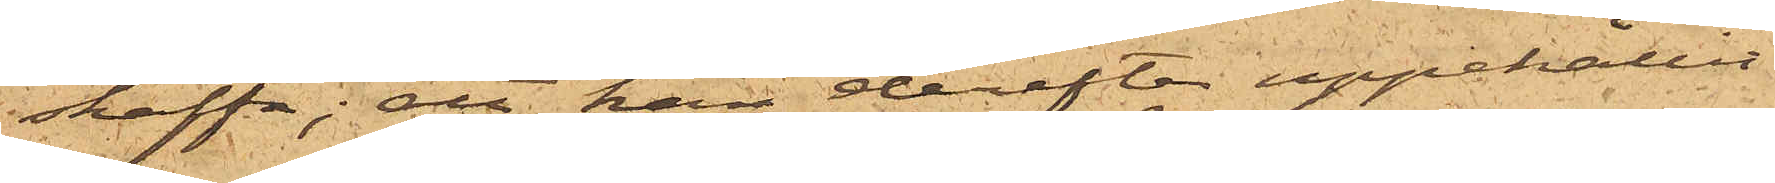skaffa; att han derefter uppehållit
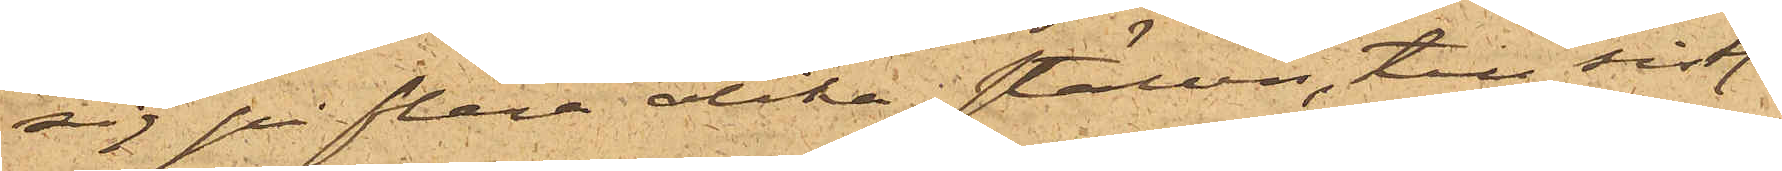sig på flera olika; ställen, till sist.
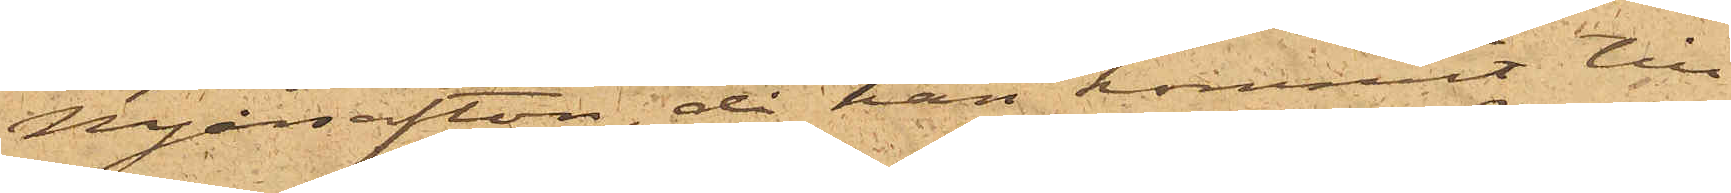Nyårsafton, då han kommit till
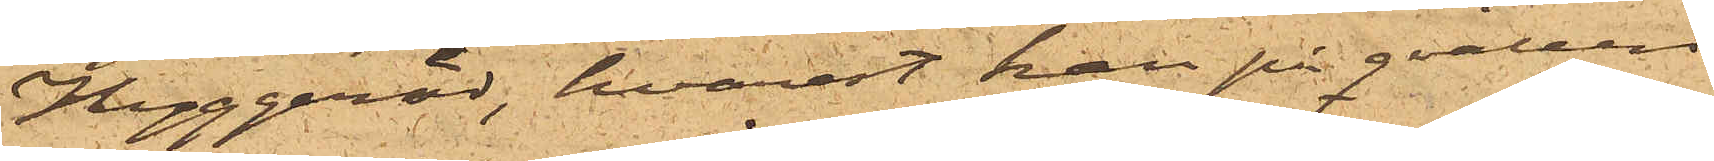Hyggeröd, hvarest han på qvällen
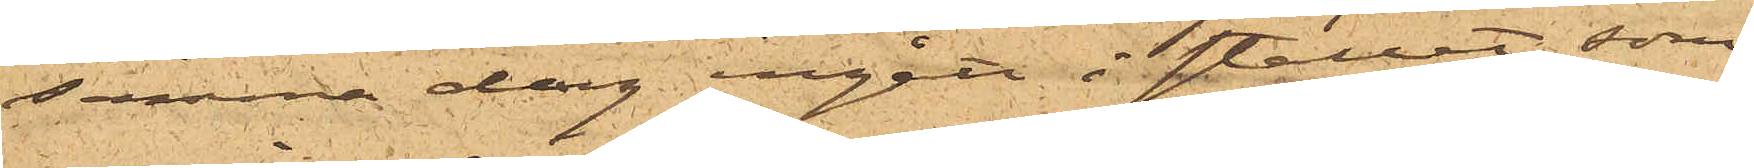samma dag ingått i stallet, som
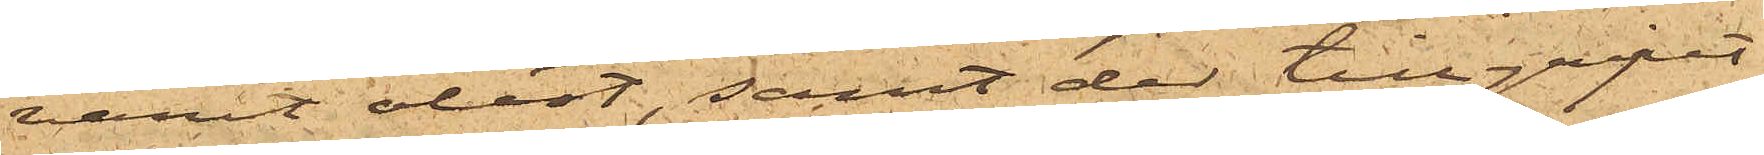varit olåst, samt der tillgripit
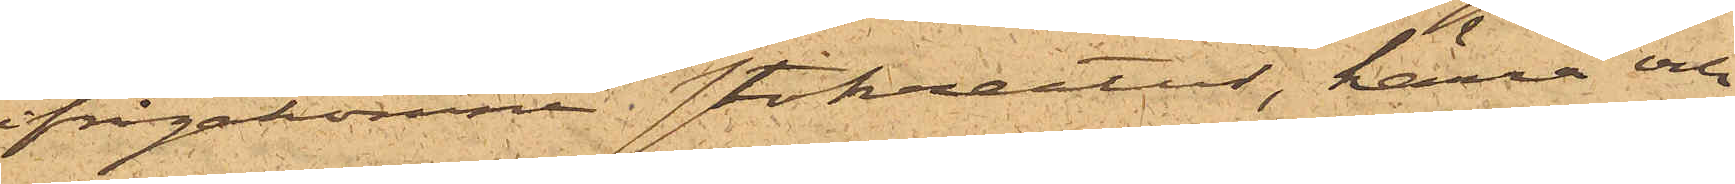ifrågakomne stokreatur, kärra och
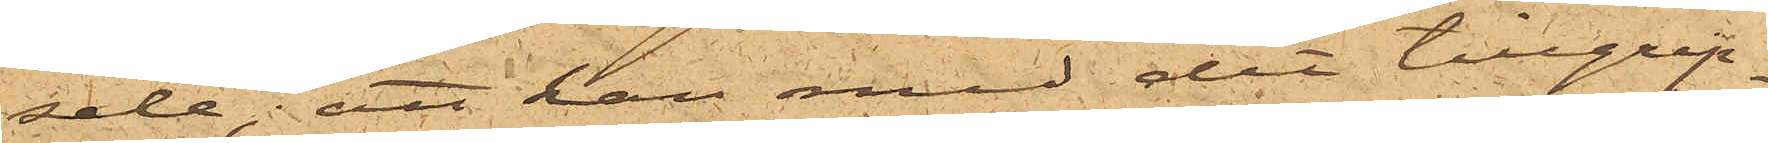sele; att han med det tillgrip¬
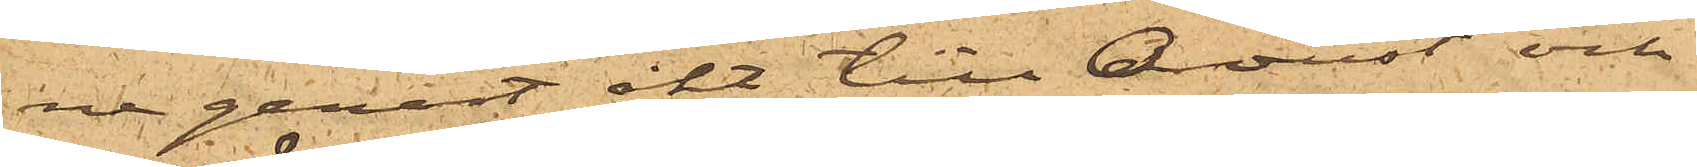ne genast åkt till Oroust och
